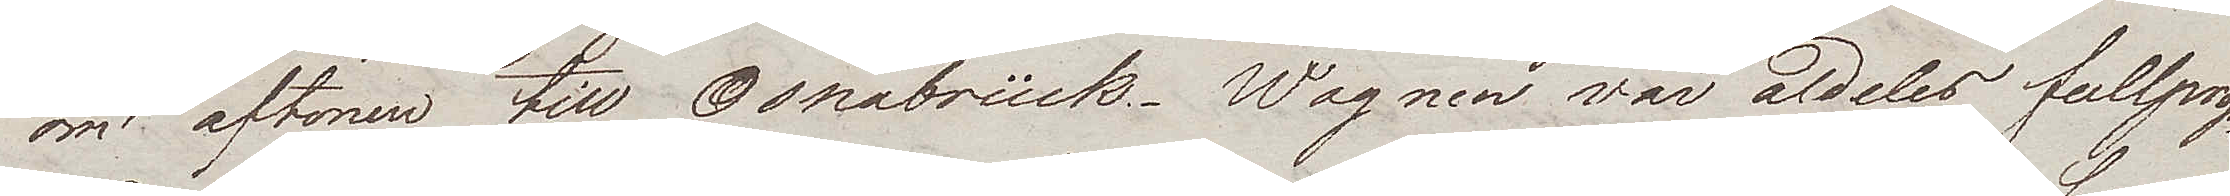om aftonen till Osnabrück. Wagnen var aldeles fullprop¬
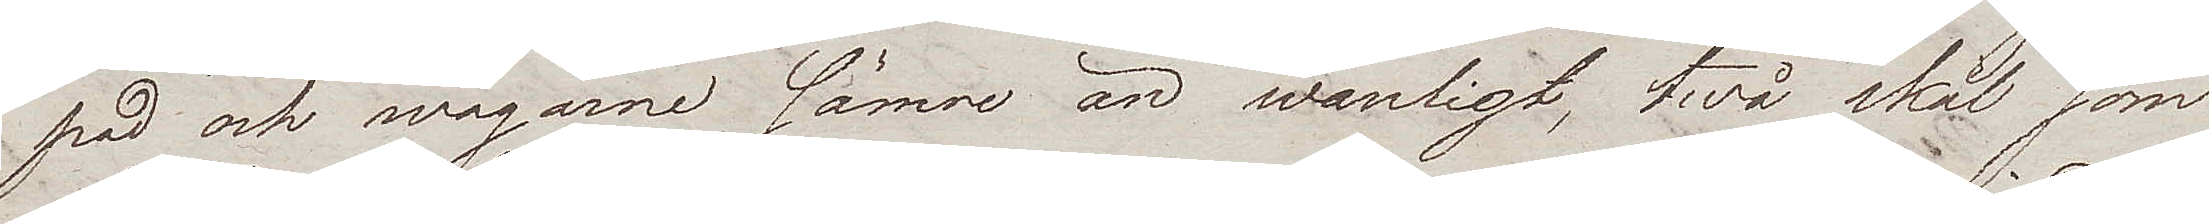pad och wägarne sämre än wanligt, twå skäl som
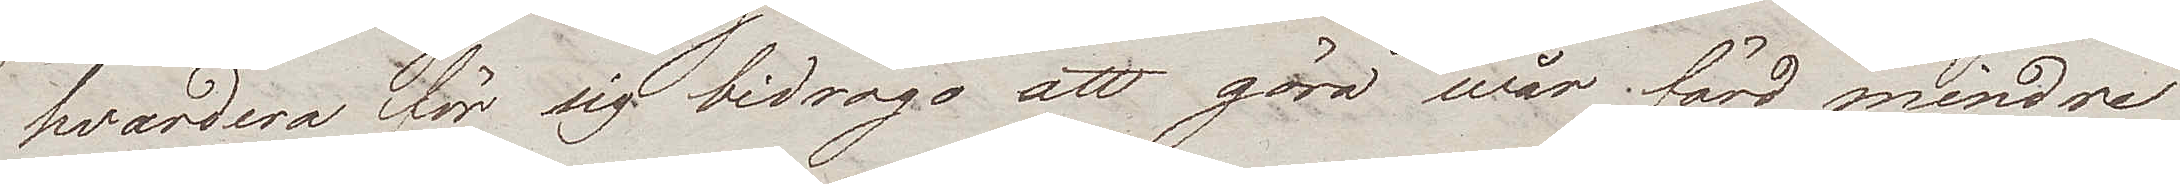hvardera för sig bidrogo att göra wår färd mindre
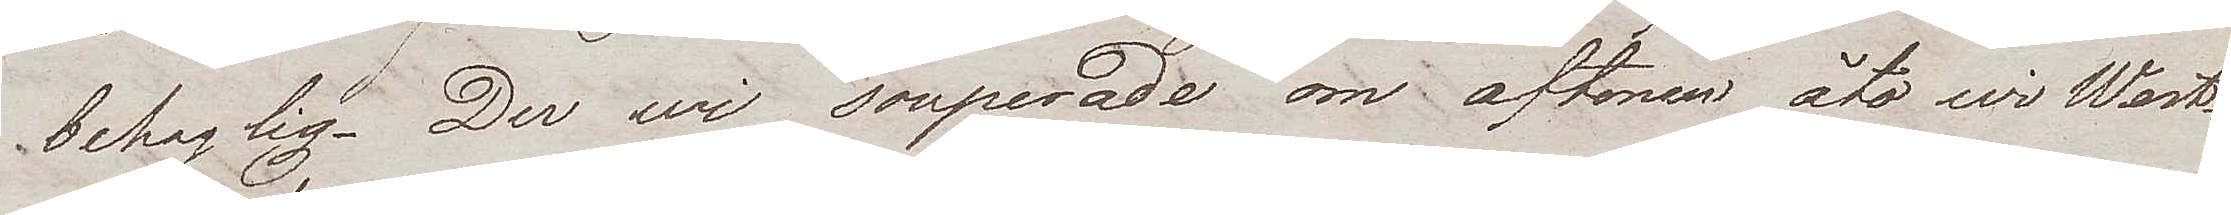behaglig. Der wi souperade om aftonen åto wi West¬
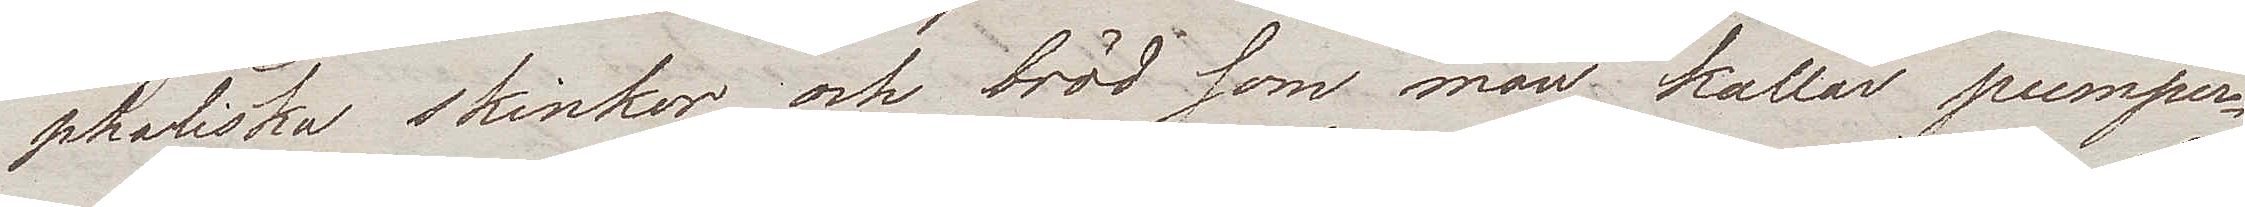phaliska skinkor och bröd som man kallar pumper¬
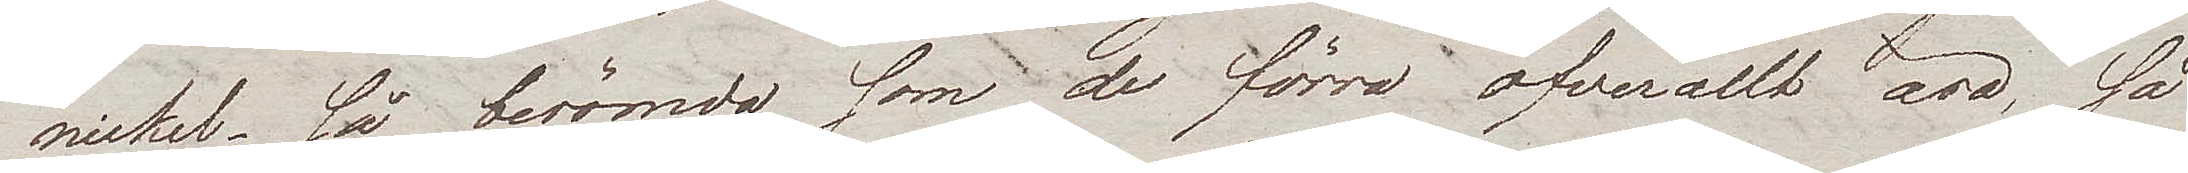nickel. Så berömda som de förra öfverallt äro, så
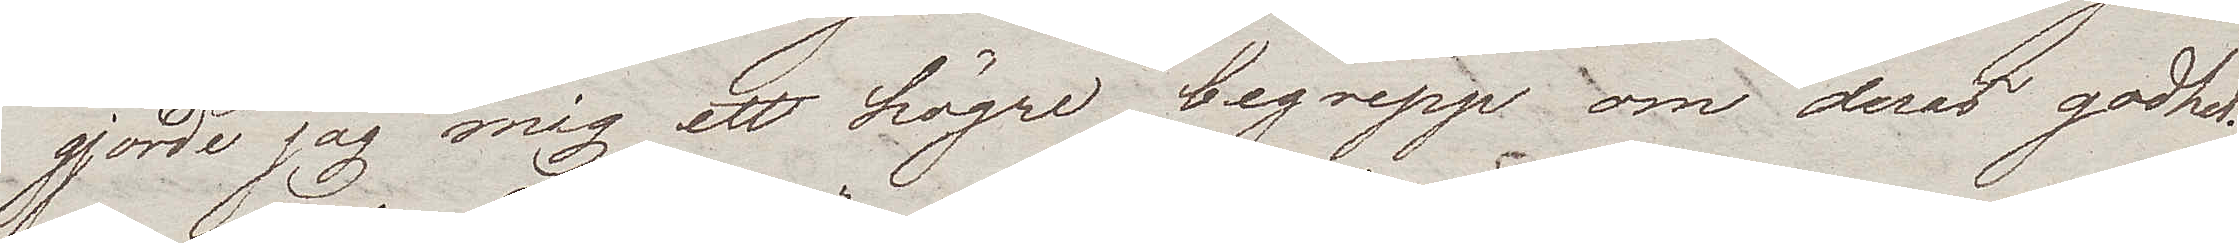gjorde jag mig ett högre begrepp om deras godhet.
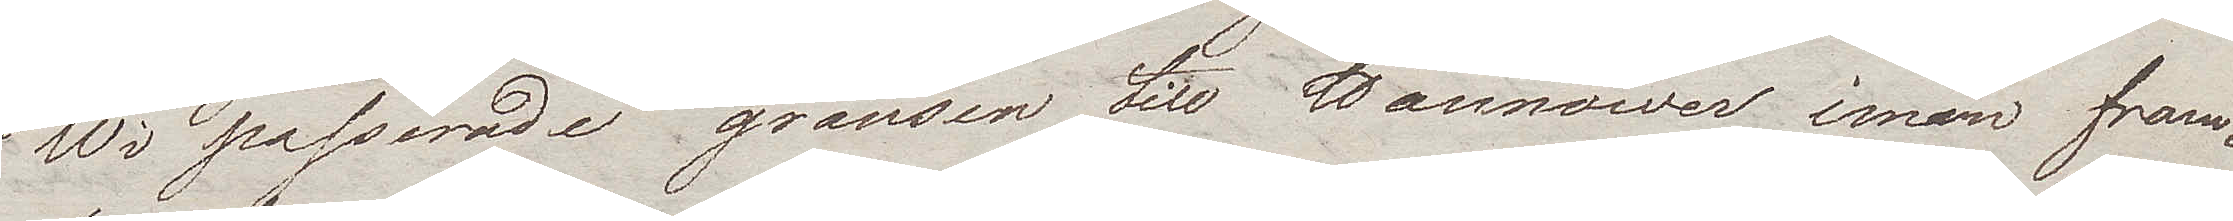Wi passerade gränsen till Hannover innan fram¬
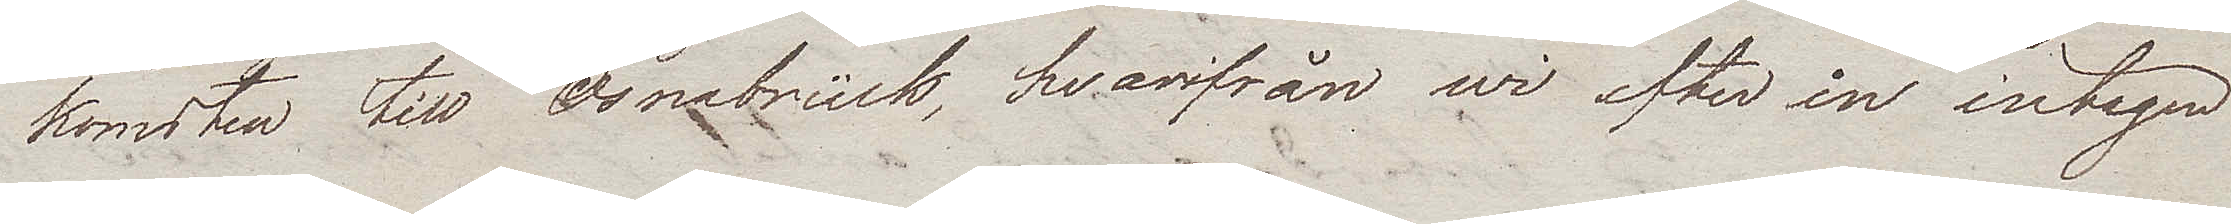komsten till Osnabrück, hvarifrån wi efter in intagen
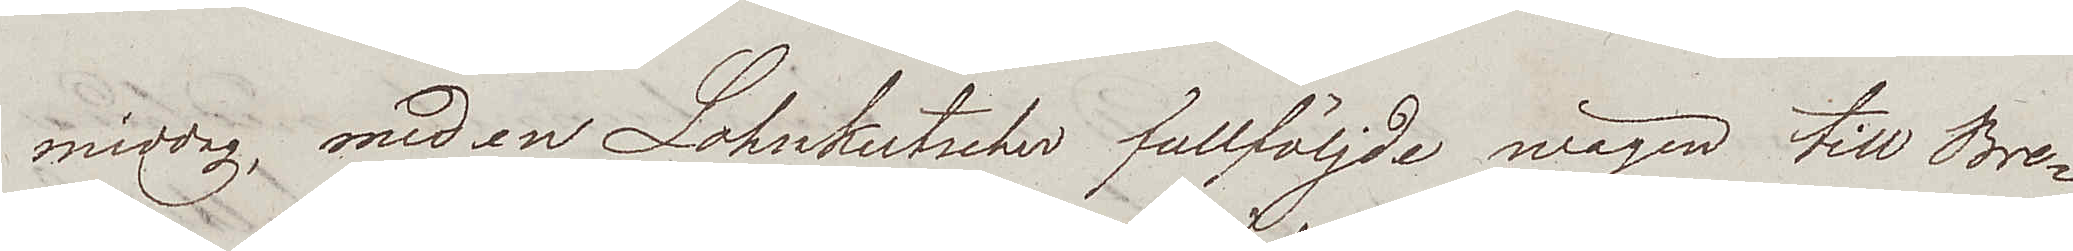middag, med en Lohnkutscher fullföljde wägen till Bre¬
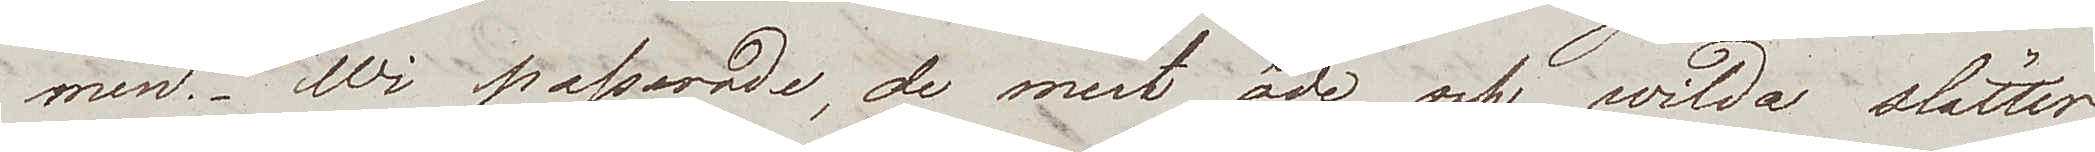men. Wi passerade, de mest öde och wilda slätter
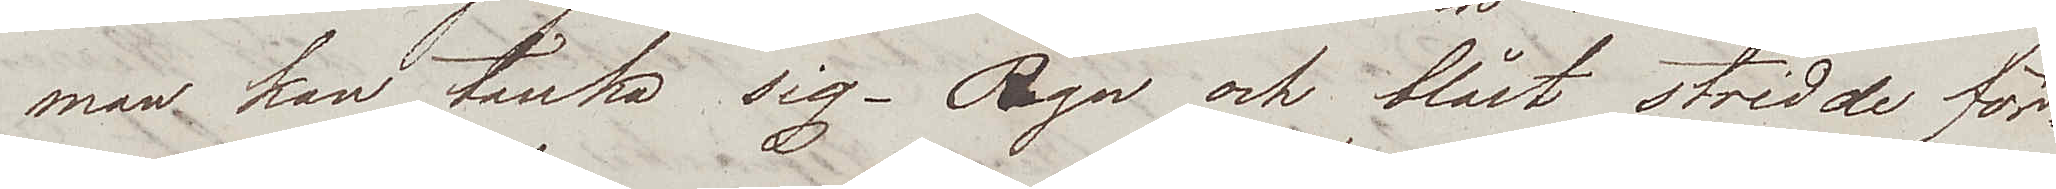man kan tänka sig. Regn och blåst stridde för¬
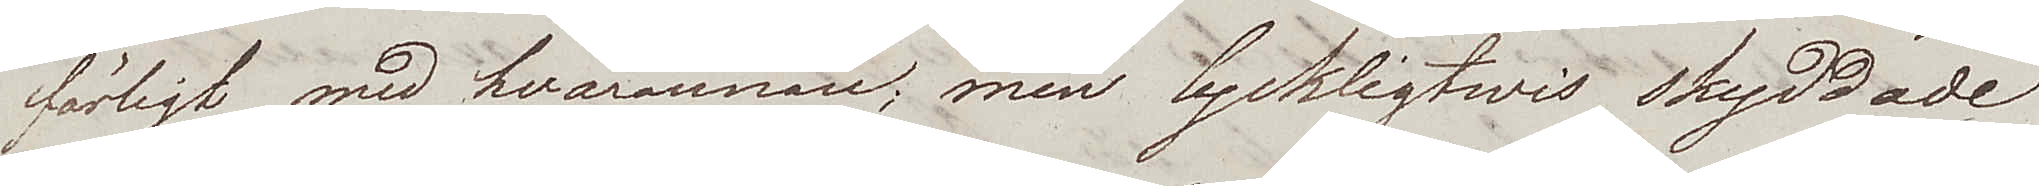färligt med hvarannan, men lyckligtwis skyddade
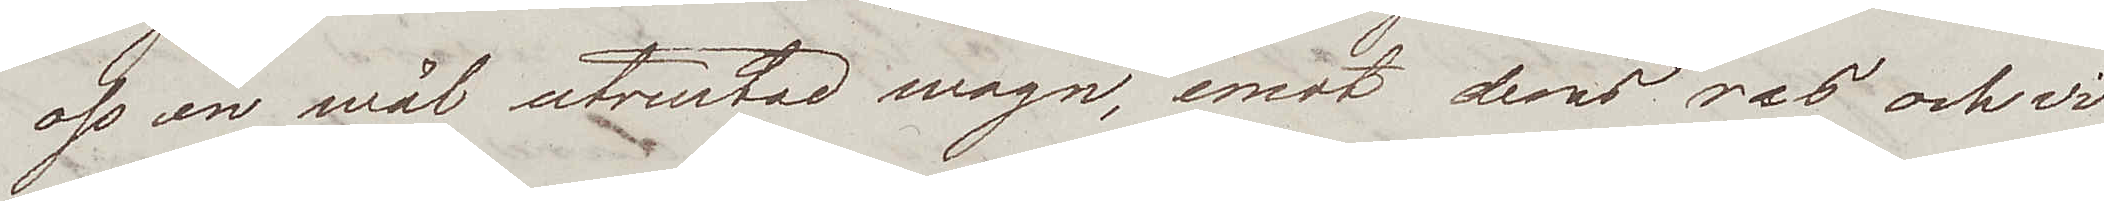oss en wäl utrustad wagn, emot dess ras och wi
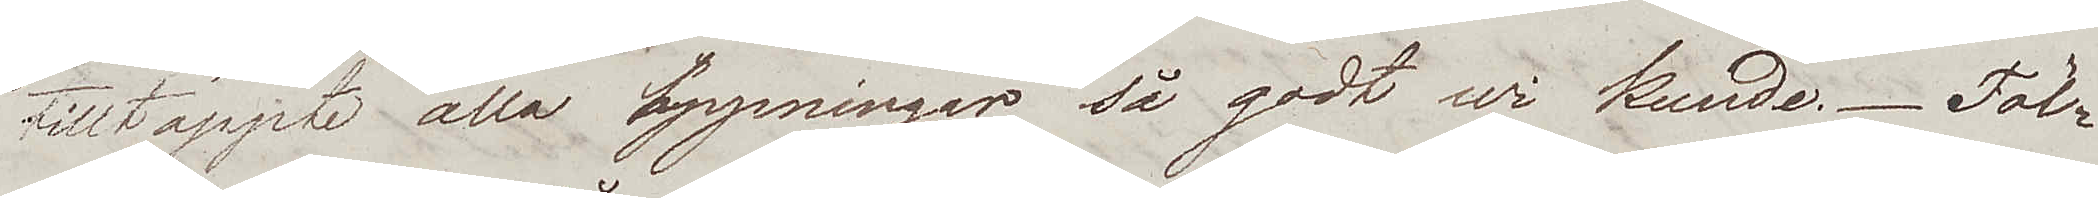tilltäppte alla öppningar så godt wi kunde. Föl¬
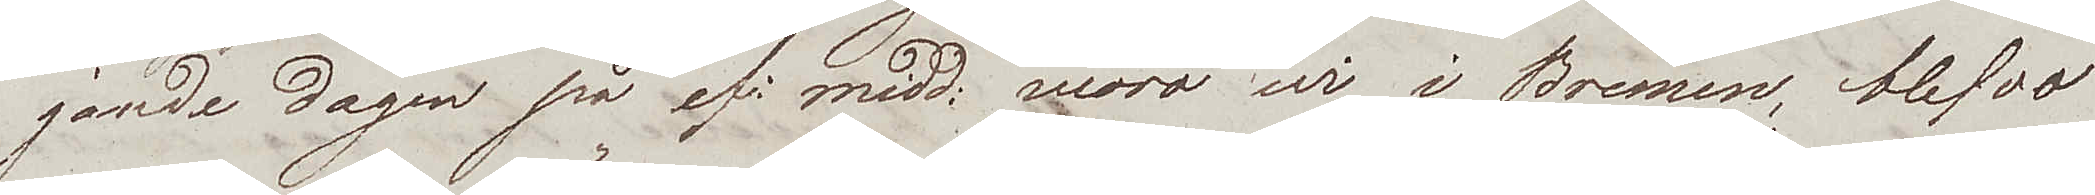jande dagen på ef.midd. woro wi i Bremen, blefvo
